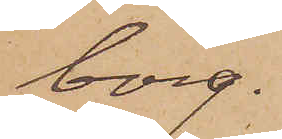borg.
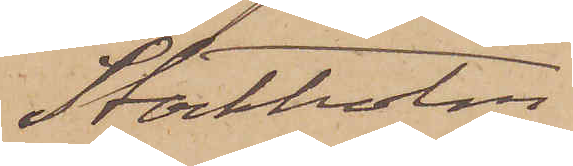Stockholm.
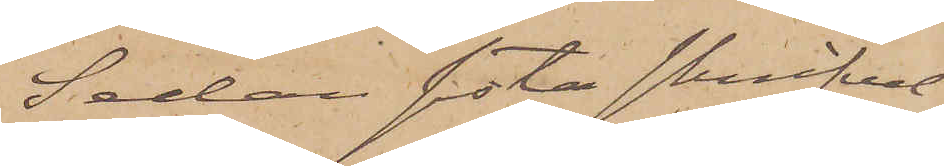Sedan sista skrifvel¬
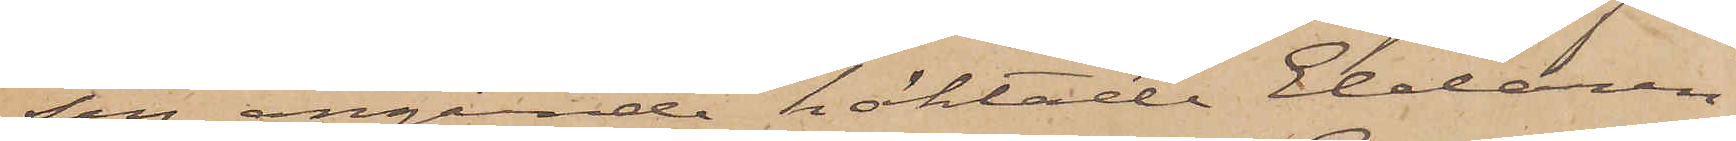sen angående häktade Eldaren
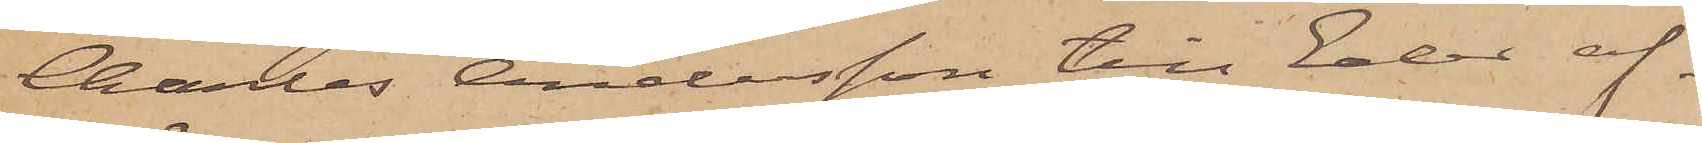Charles Andersson till Eder af¬
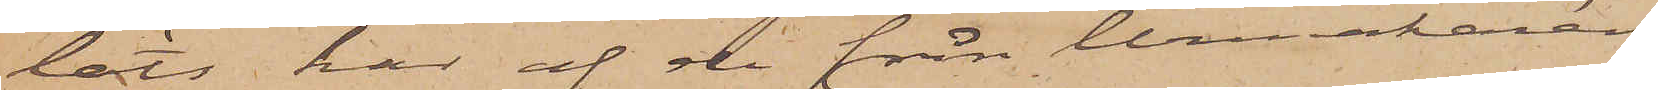läts, har af de från Urmakaren
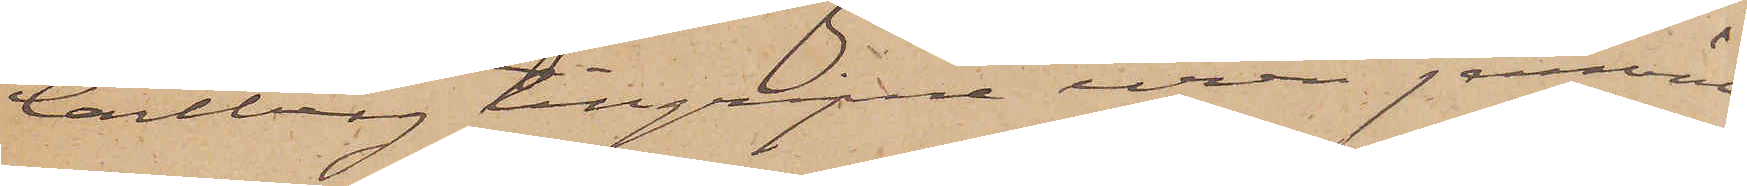Carlberg tillgripne uren jemväl
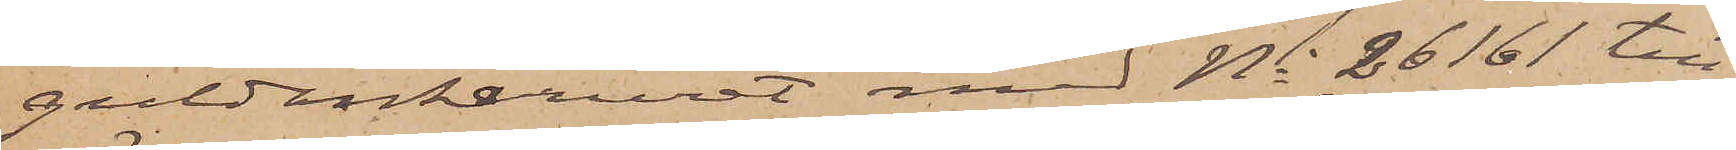guldankaruret med No 26161 till¬
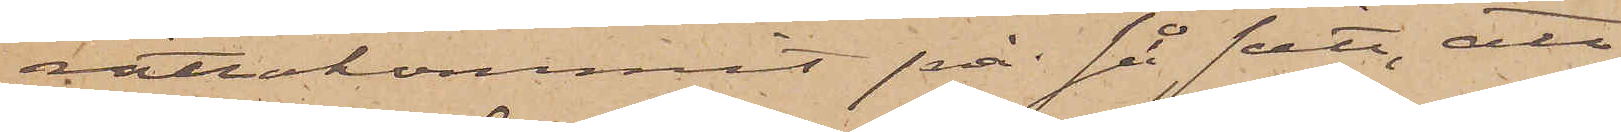rättakommit på så sätt, att
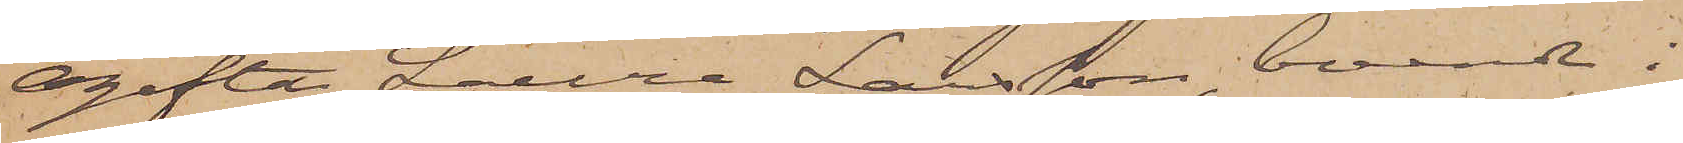ogifta Laura Larsson, boende i
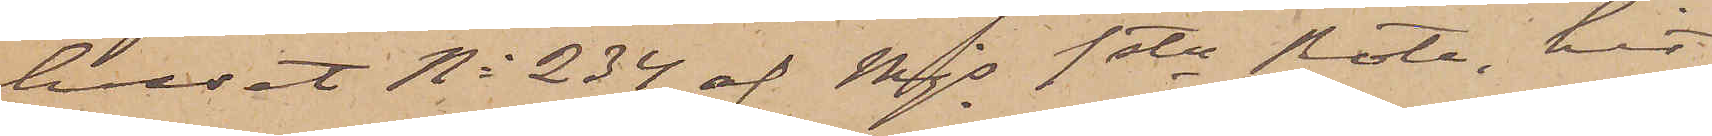huset No 234 af Mjs 1ste Rote, hit
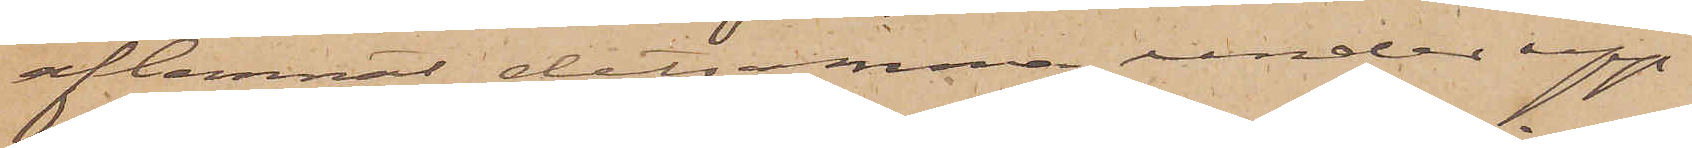aflemnat detsamma under upp¬
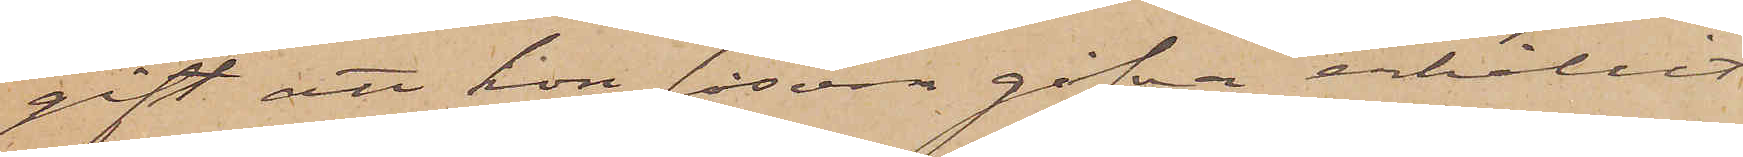gift att hon såsom gåfva erhållit
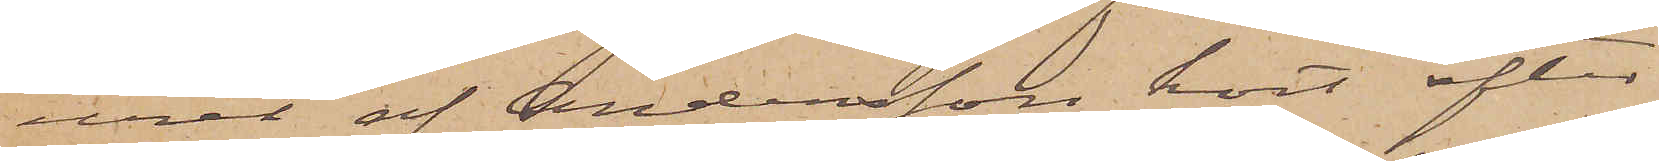uret af Andersson kort efter
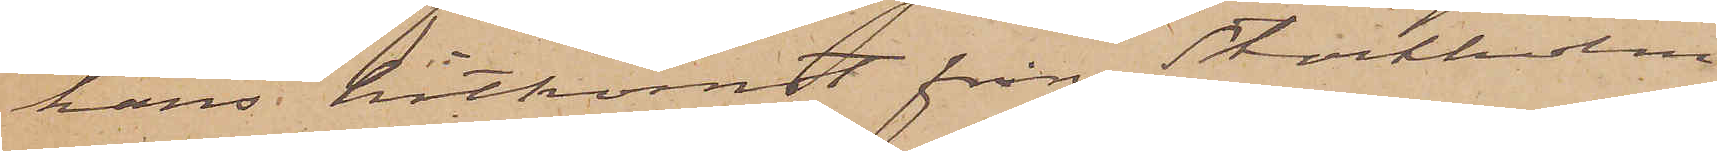hans hitkomst från Stockholm
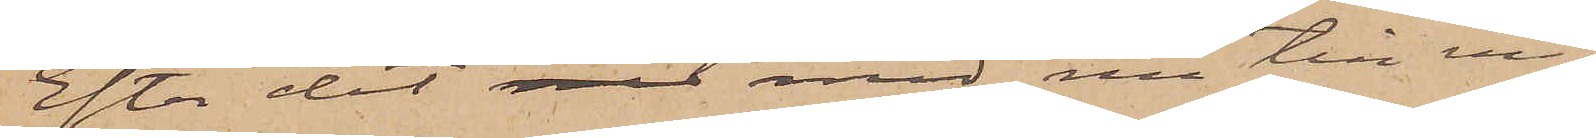Efter det nu med nu till mig
